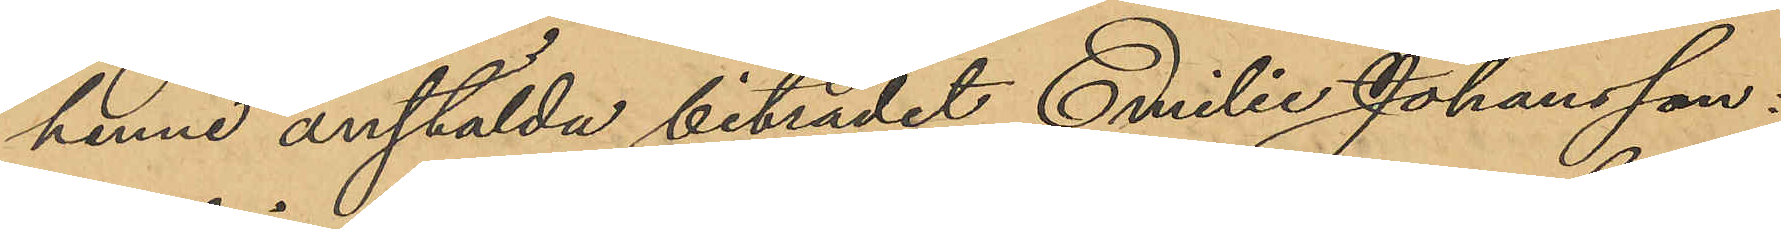henne anstälda biträdet Emilie Johansson:
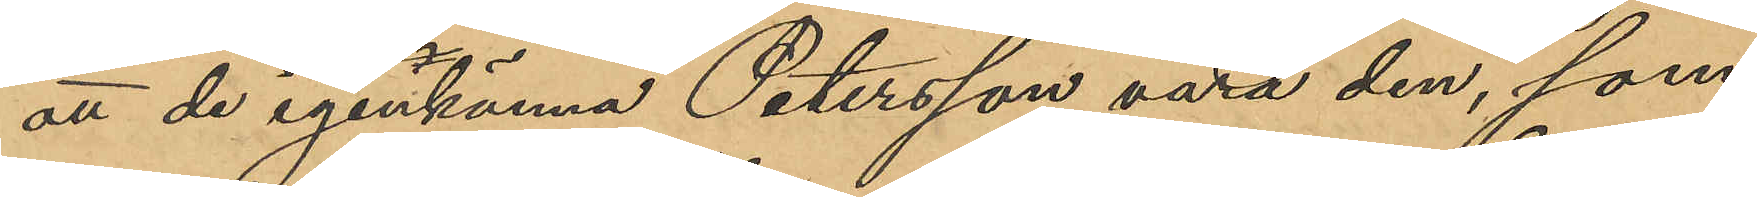att de igenkänna Petersson vara den, som
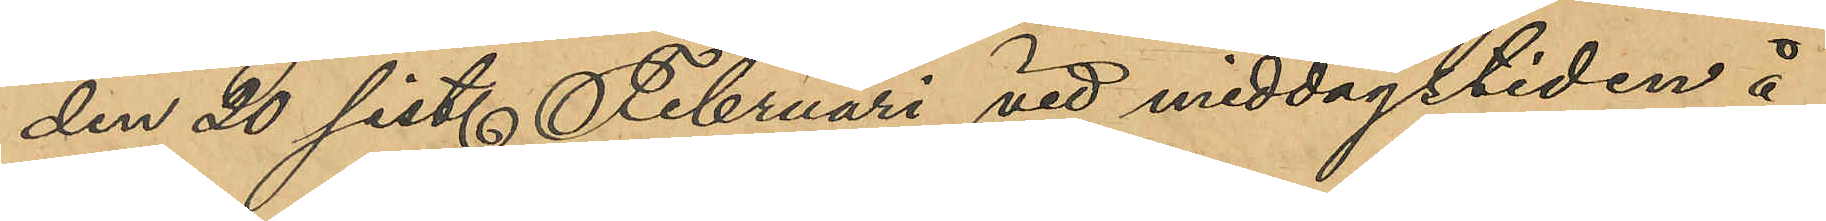den 20 sist. Februari vid middagstiden å
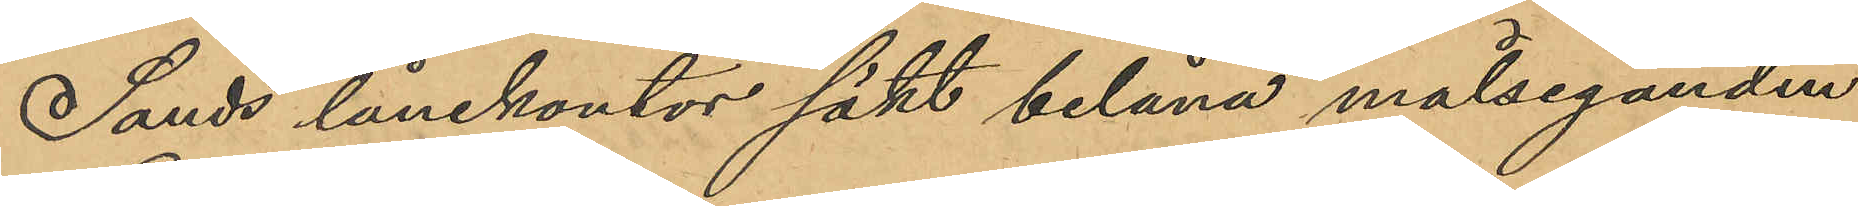Sands lånekontor sökt belåna målseganden
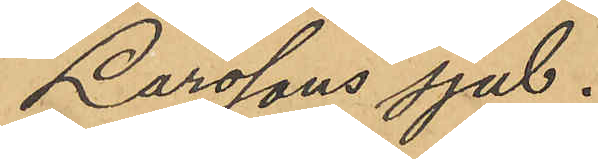Larssons sjal.
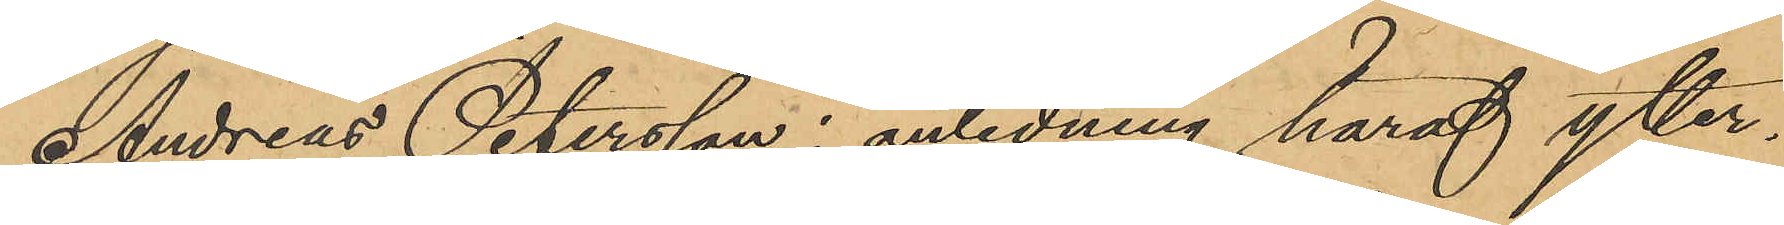Andreas Petersson i anledning häraf ytter¬
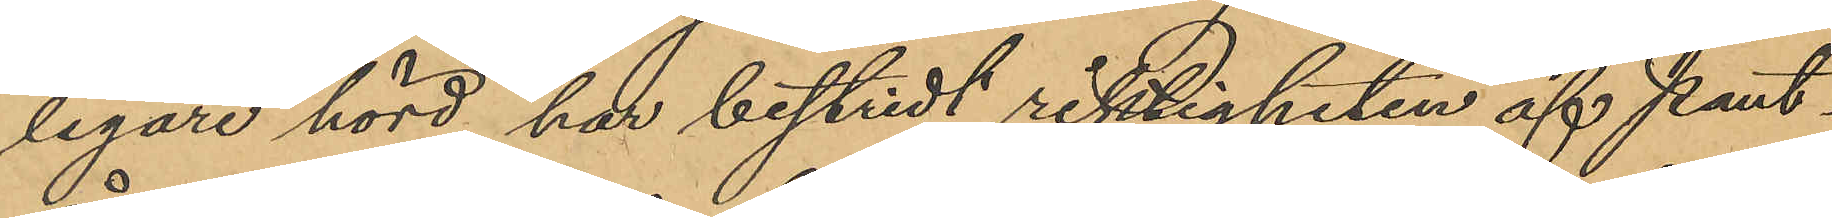ligare hörd, har bestridt riktigheten af Pant¬
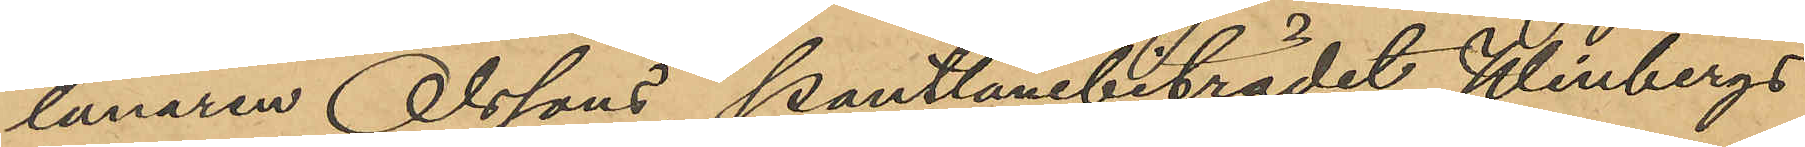lånaren Olssons, pantlånebiträdet Winbergs
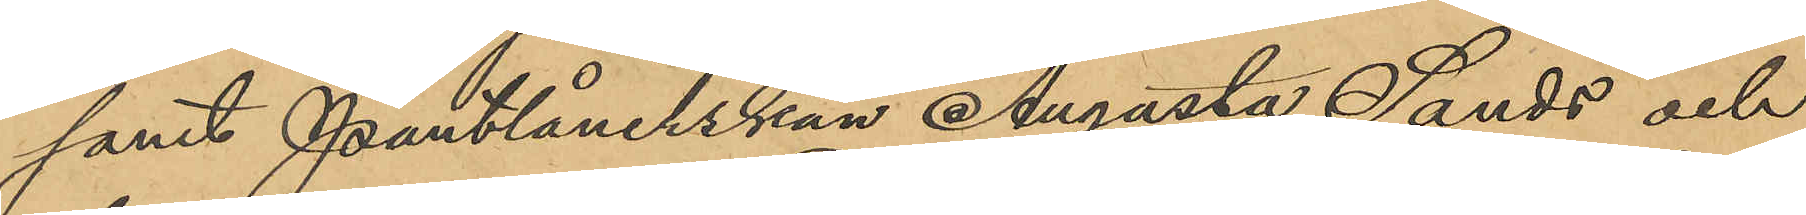samt Pantlånerskan Augusta Sands och
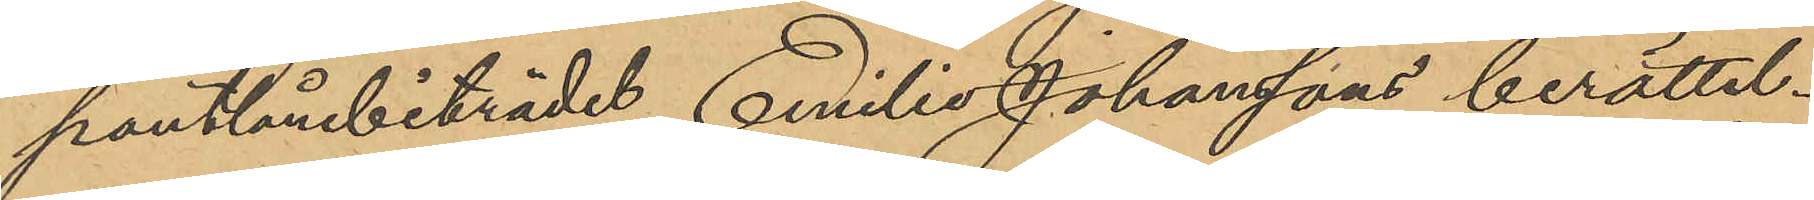pantlånebiträdet Emilie Johanssons berättel¬
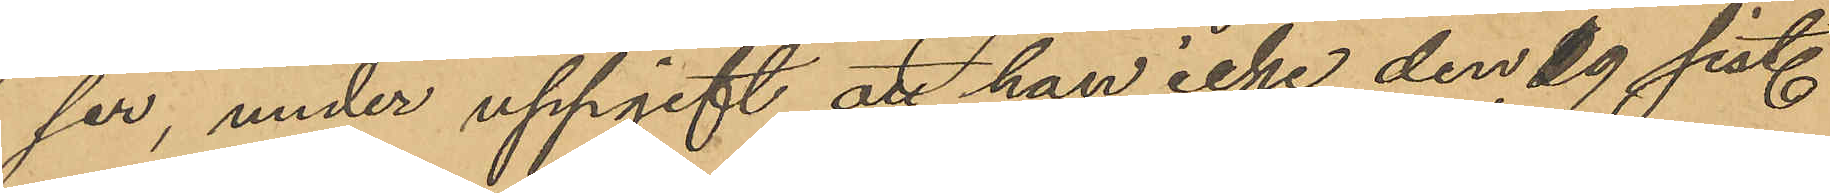ser, under uppgift att han icke den 29 sist.
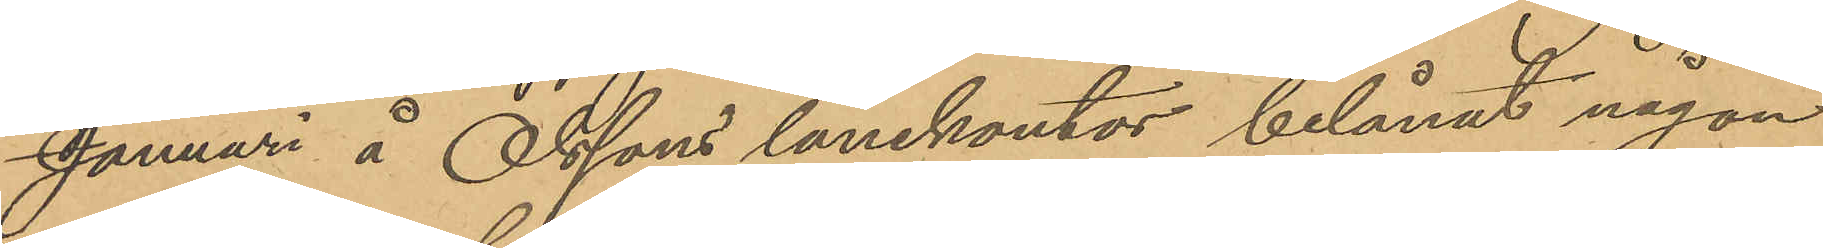Januari å Olssons lånekontor belånat någon
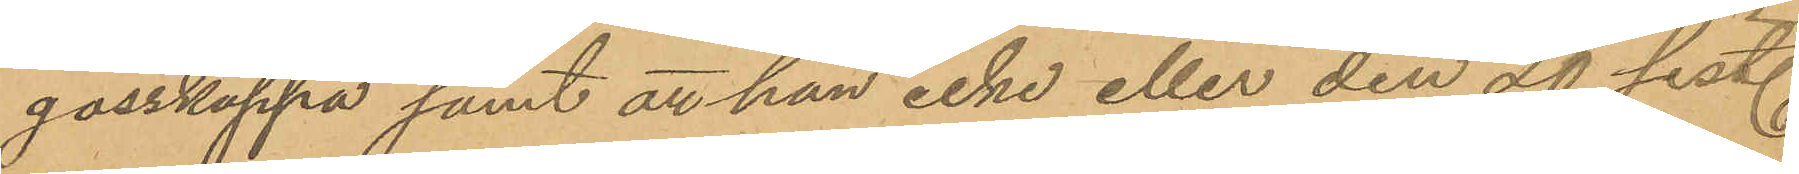gosskappa samt att han icke eller den 20 sist.
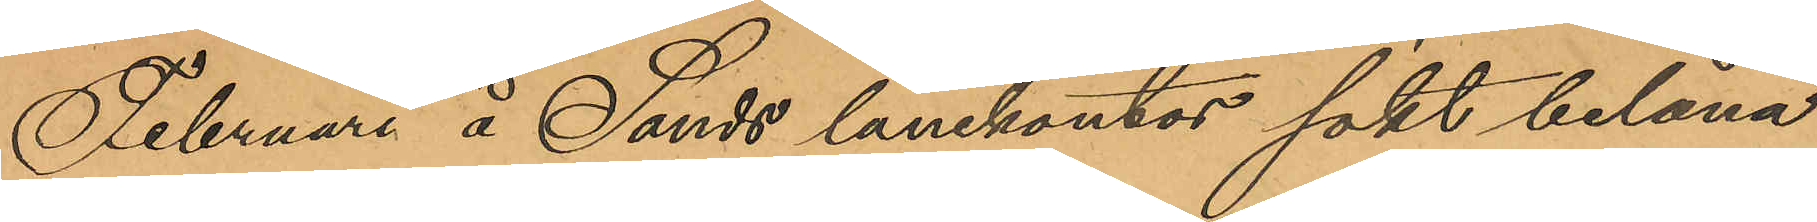Februari å Sands lånekontor sökt belåna
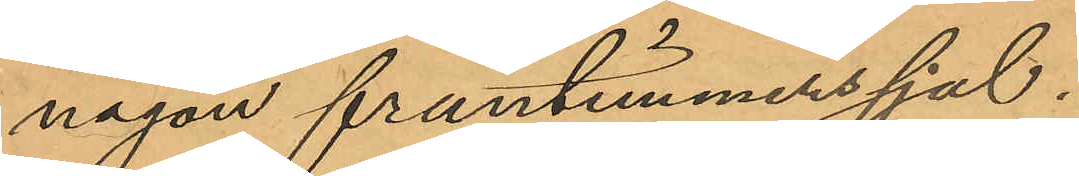någon fruntimmerssjal.
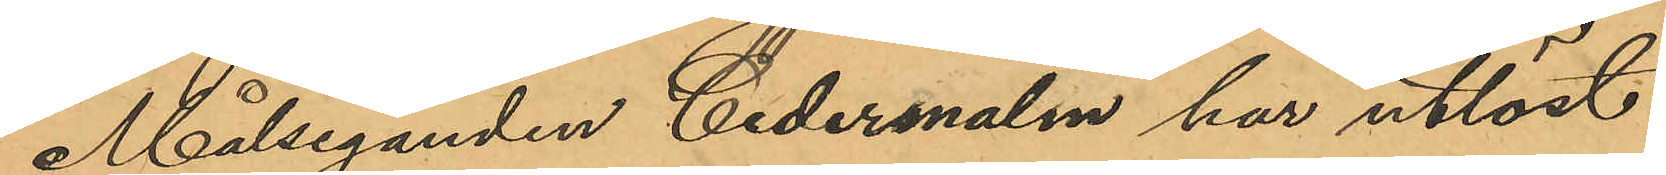Målseganden Cedermalm har utlöst
